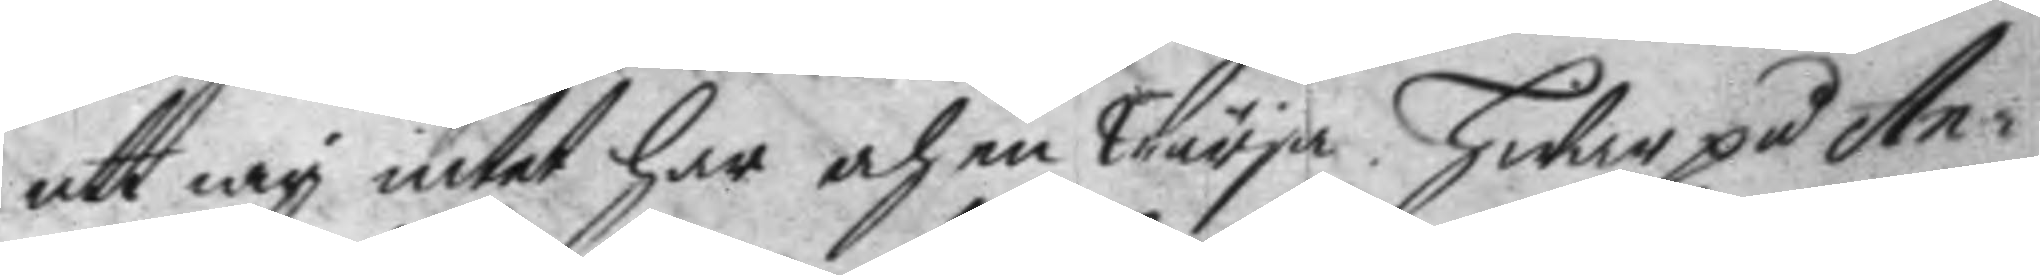att iag intet har och en Wärja. Hwarpå An¬
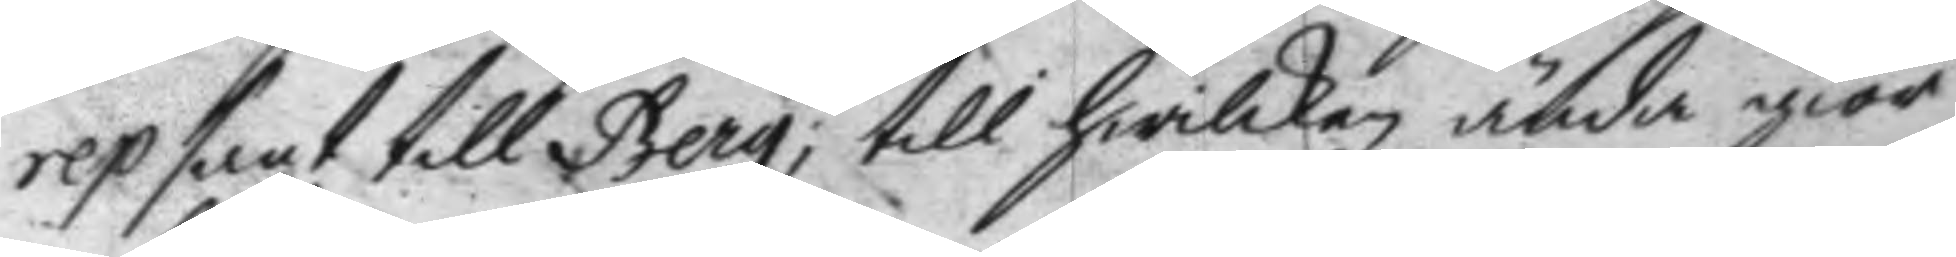rep sagt till Berg, till hwilken ända giör
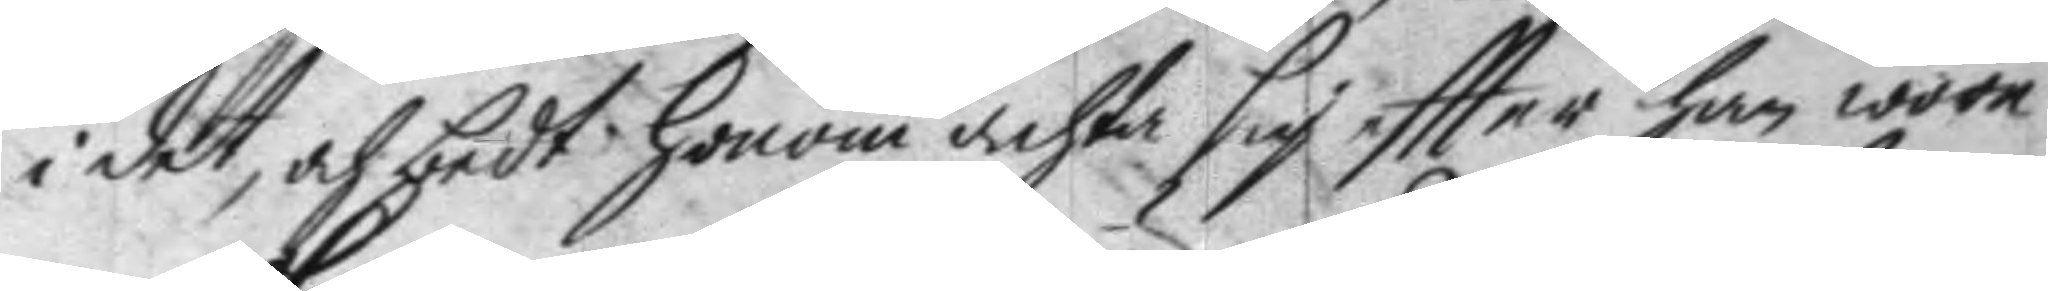i det, och bedt honom achta sig eftter han wore
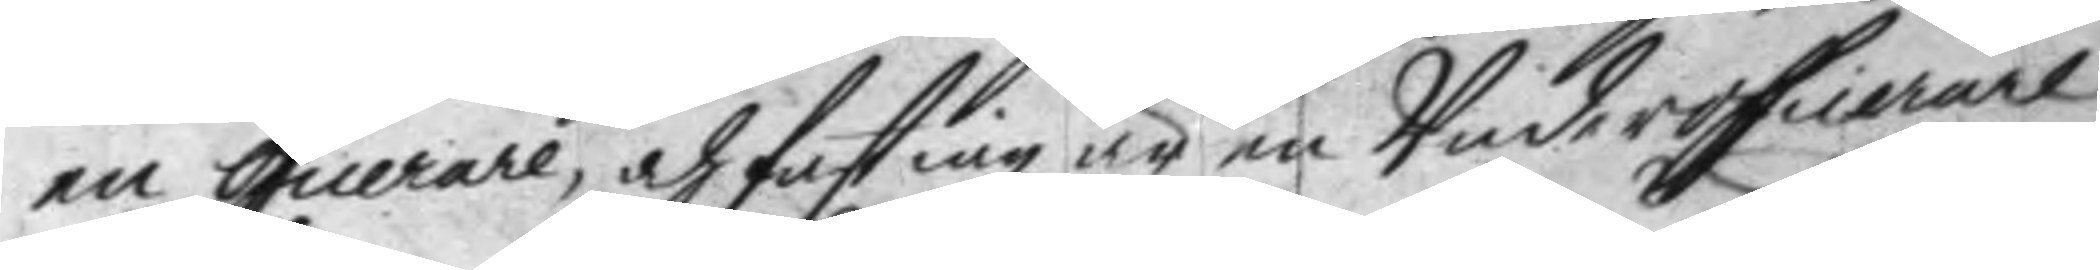en oficerare, och fast iag är en Underofierare
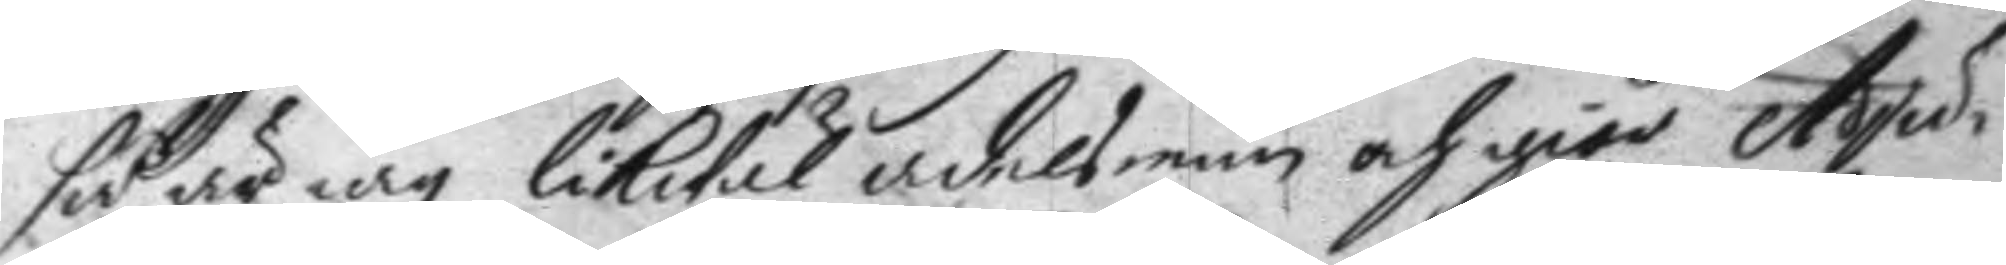så är iag likwäl adelsman och giör Adju¬
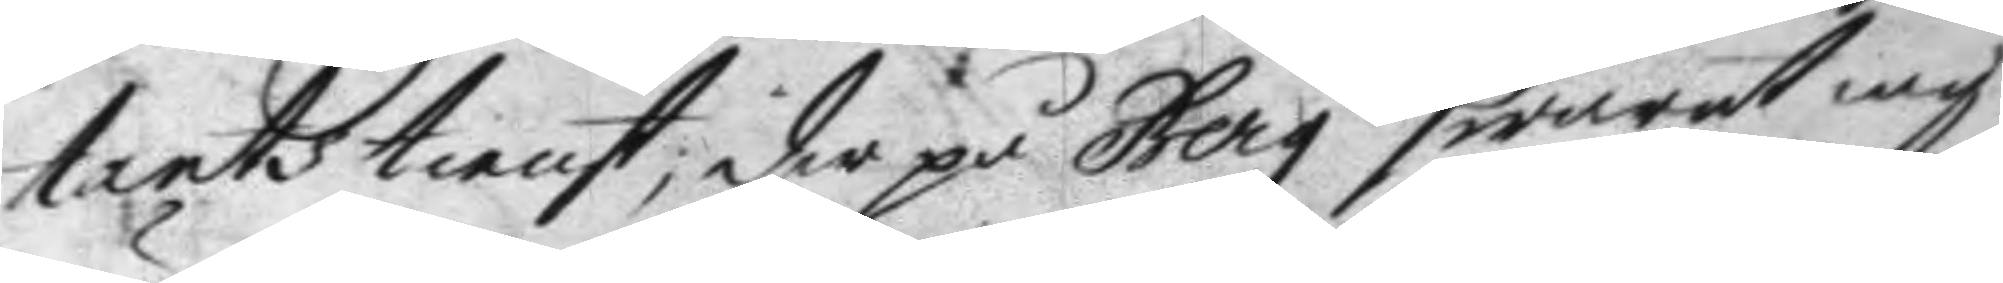tants tienst; der på Berg swarat iag
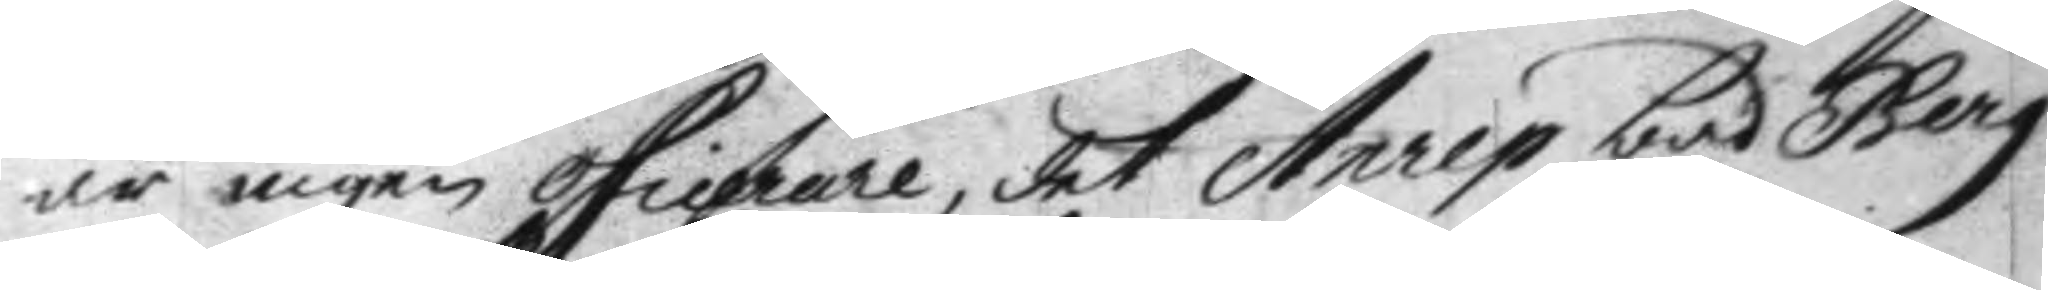är ingen oficrare, det Anrep bad Berg
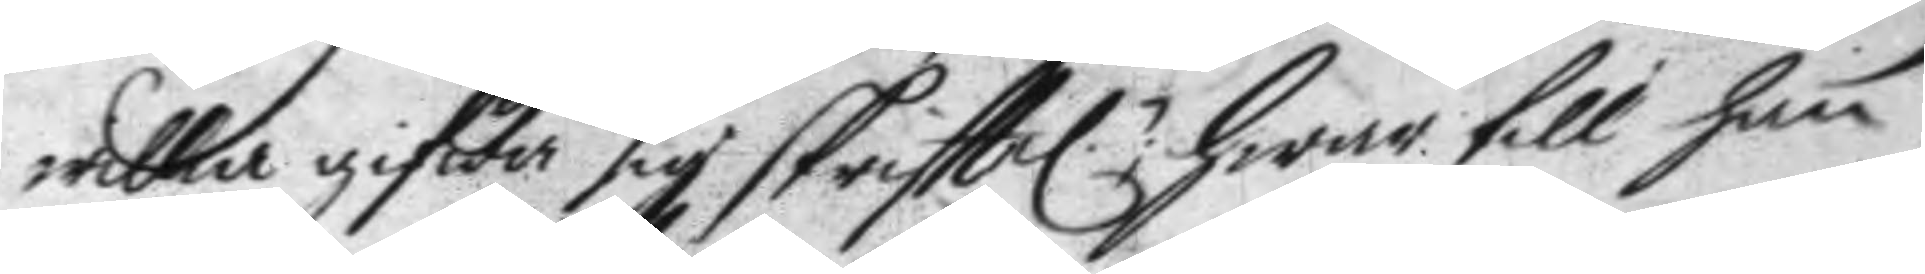willa gifwa sig skrifttel.: hwar till han 
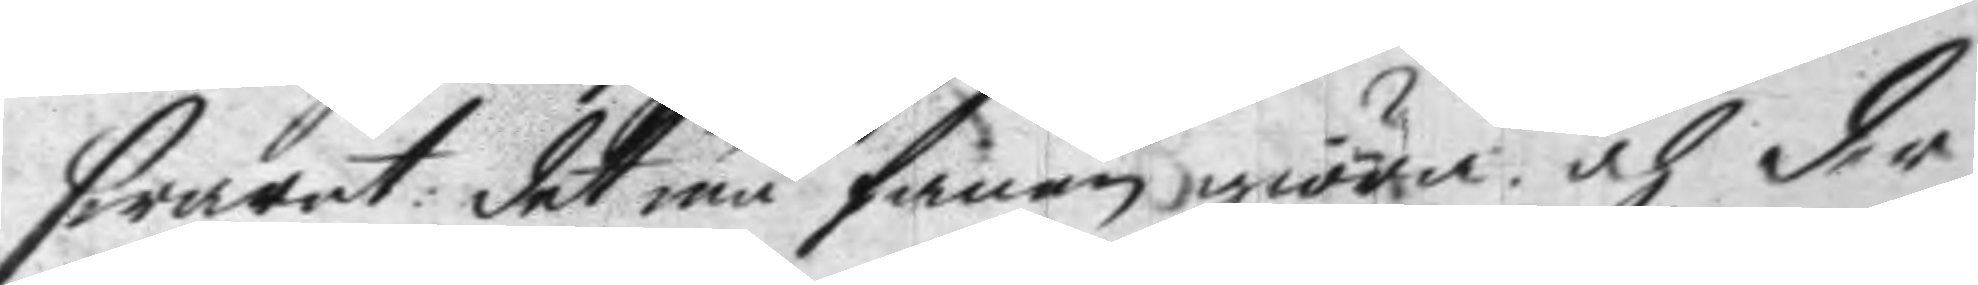swarat: det må fanen giöra och der
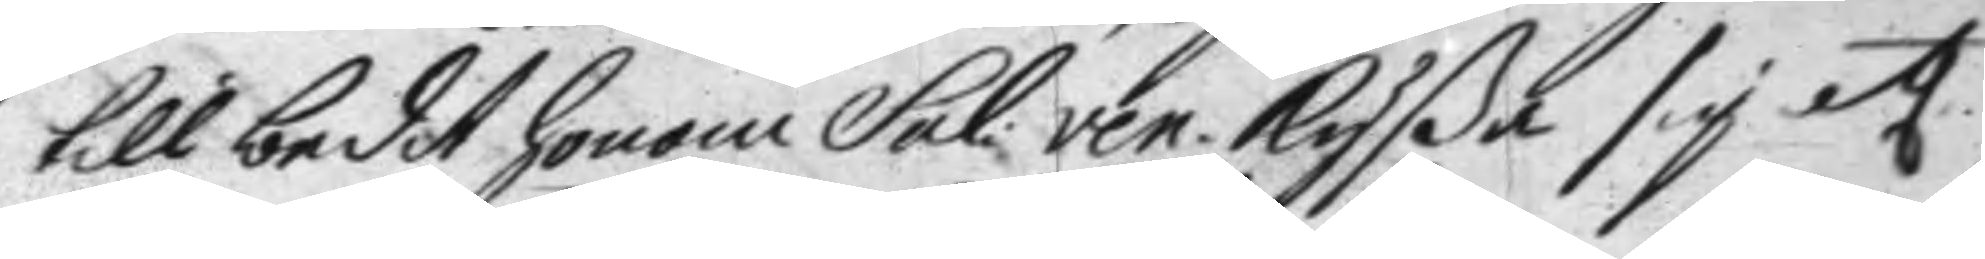till bedit honom Sal: ven. Kyßa sig etc. 
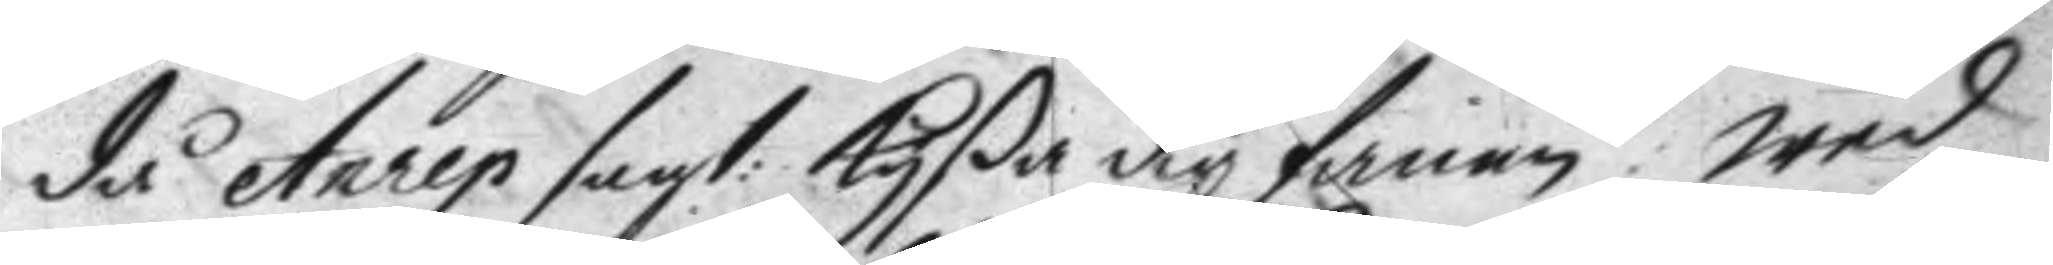då Aurep sagt: Kyßa dig fanen: wed 
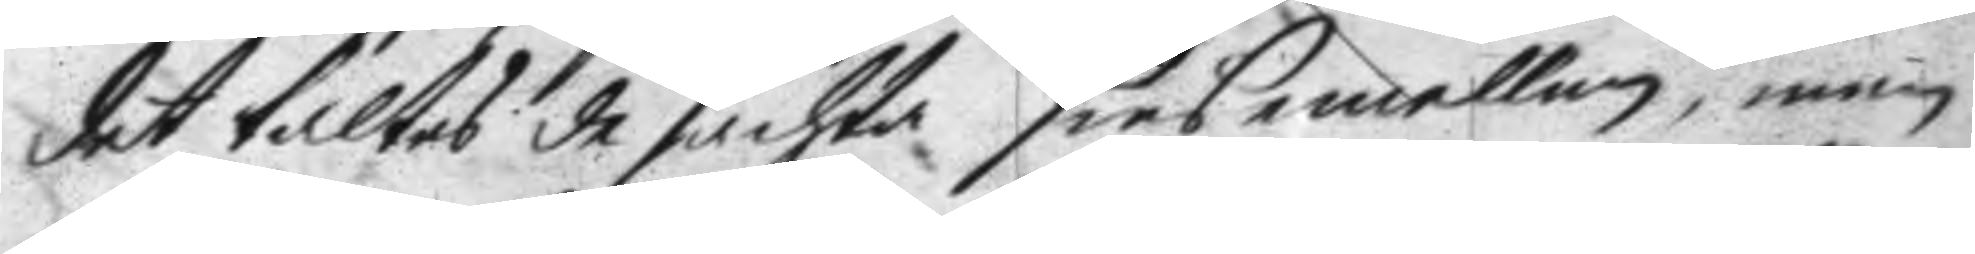det taltes de fächta sinsemellan, men
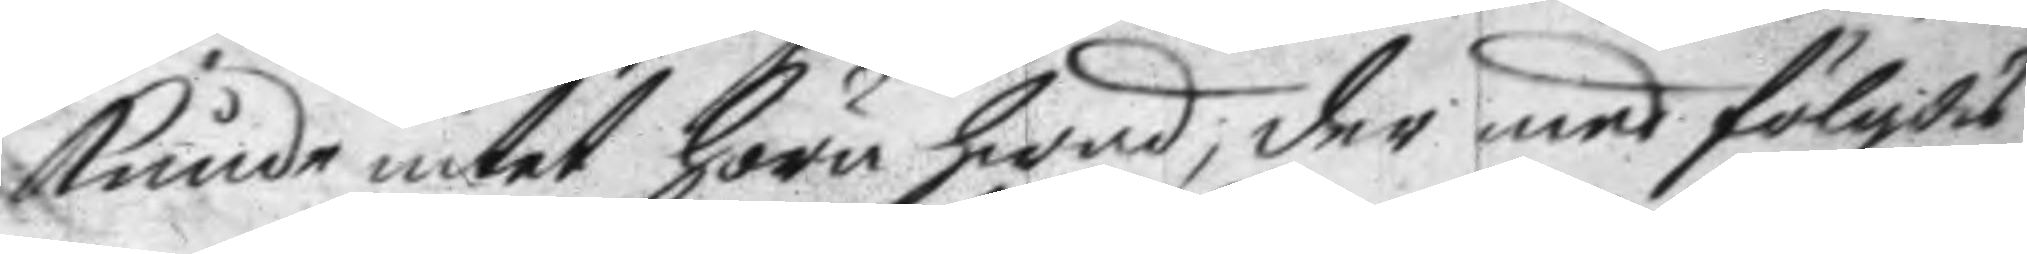kunde intet höra hwad, der med fölgdis
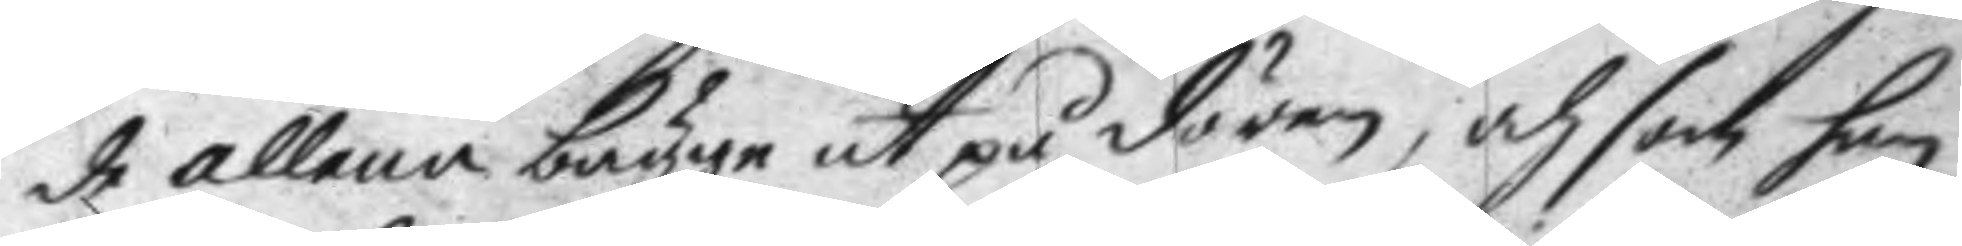de allena bägge ut på dören; och som han
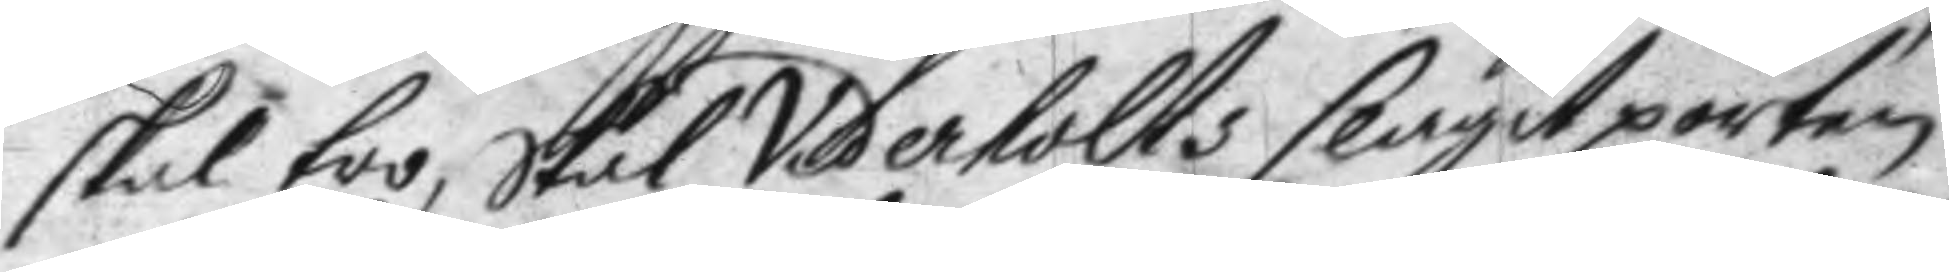skal tro, skal Vederholts slagit porten
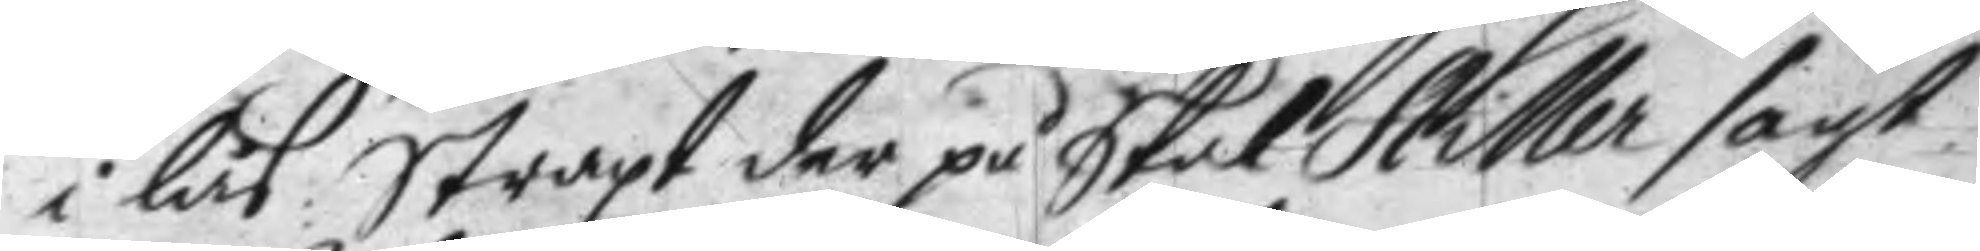i lås: Straxt der på Skal Hiller sagt
